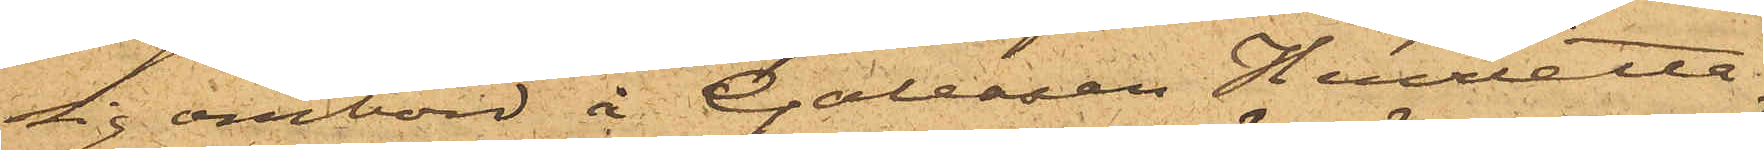sig ombord å Galeasen Henrietta
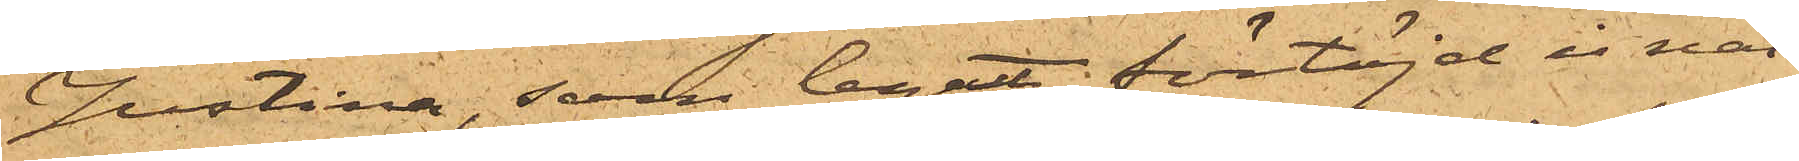Justina, som legat förtöjd i när¬
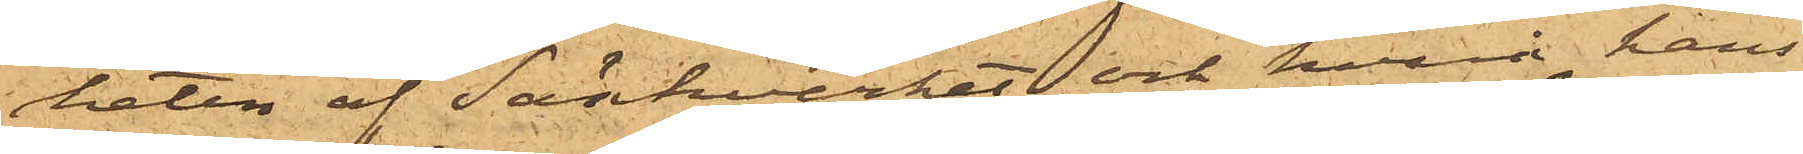heten af Sänkverket och hvarå hans
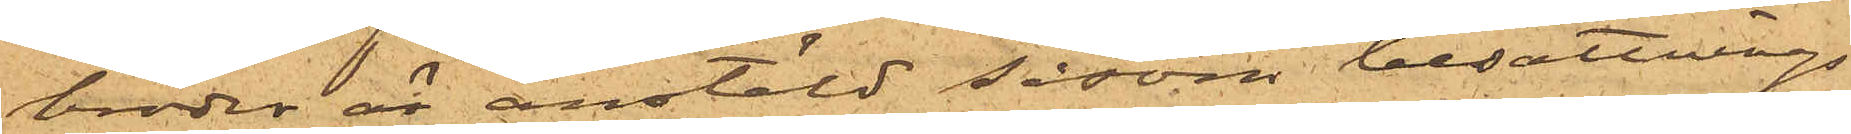broder är anstäld såsom besättnings¬
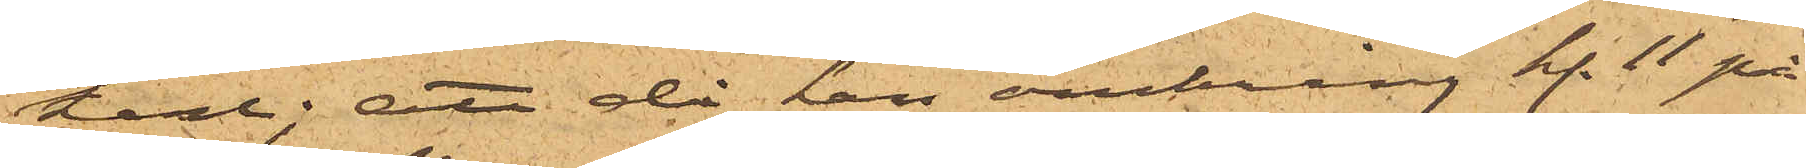karl; att då han omkring kl. 11 på
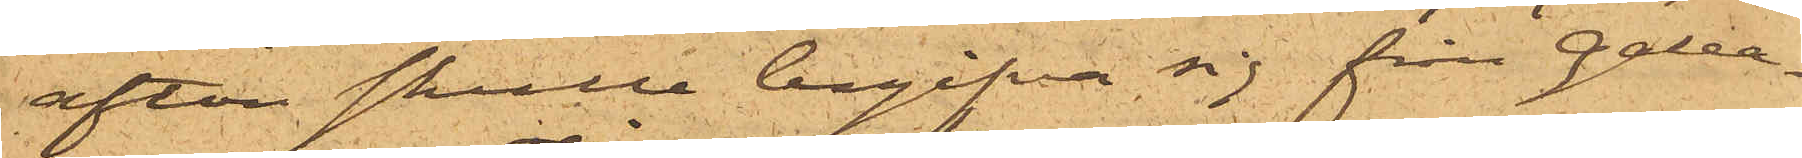afton skulle begifva sig från Galea¬
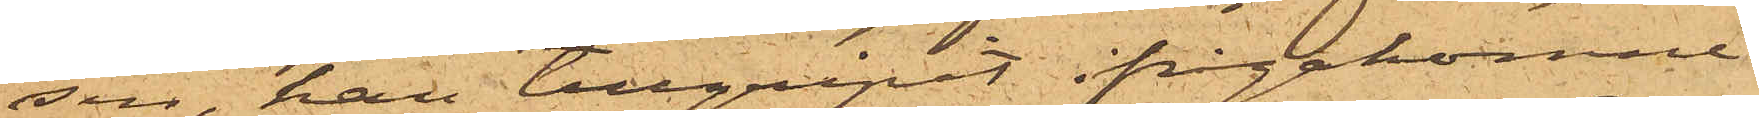sen, han tillgripit ifrågakomne
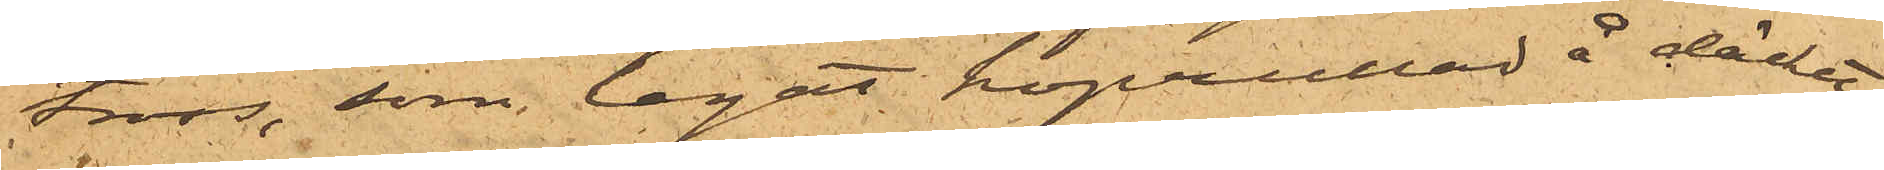tross, som legat hoprullad å däcket,
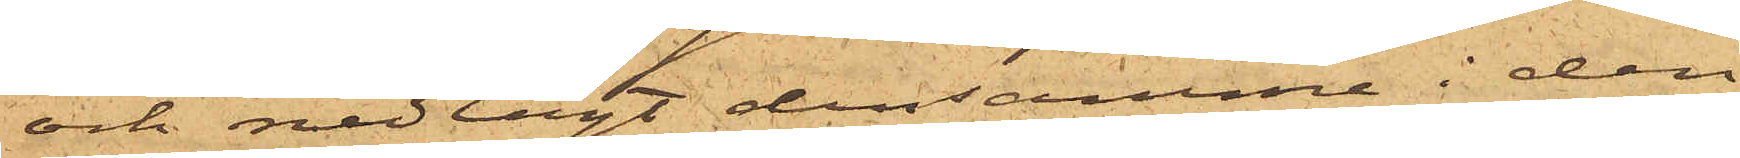och nedlagt densamme i den
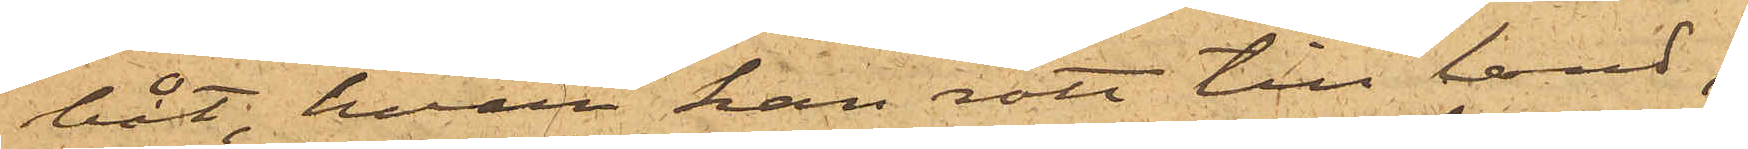båt, hvari han rott till land;
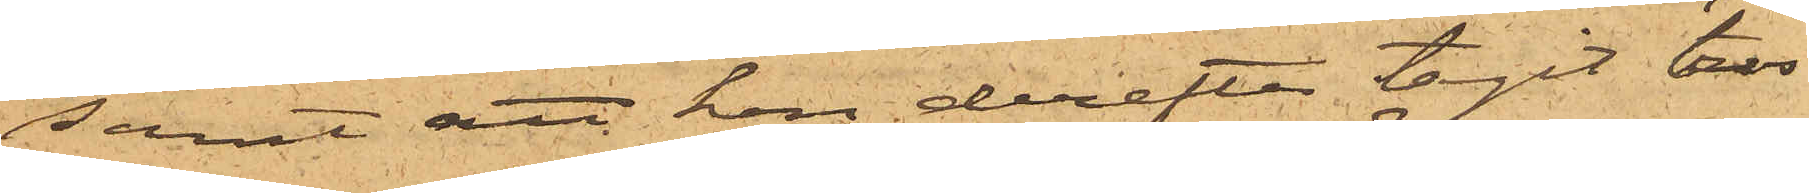samt att han derefter tagit tros¬
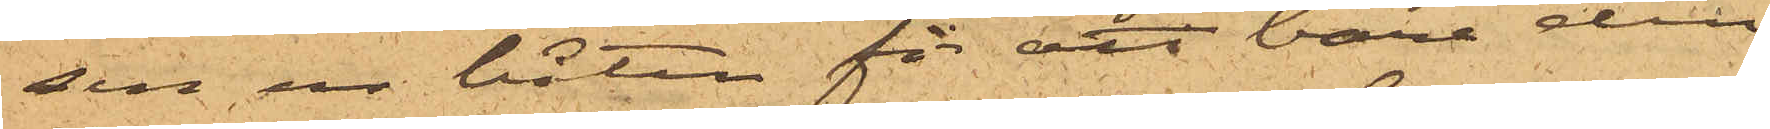sen ur båten för att bära den
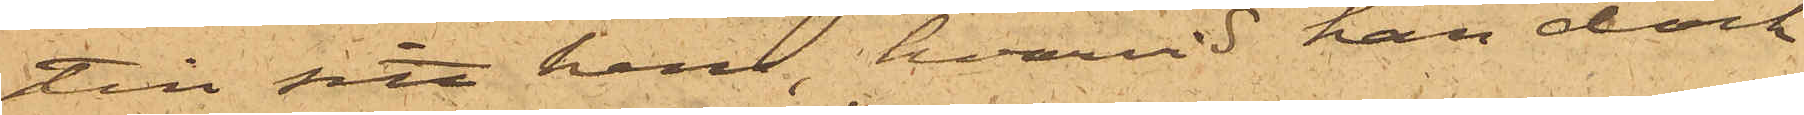till sitt hem, hvarvid han dock
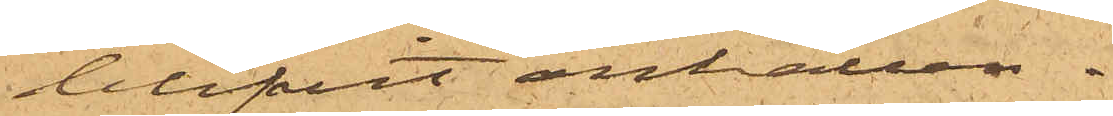blifvit anhållen.
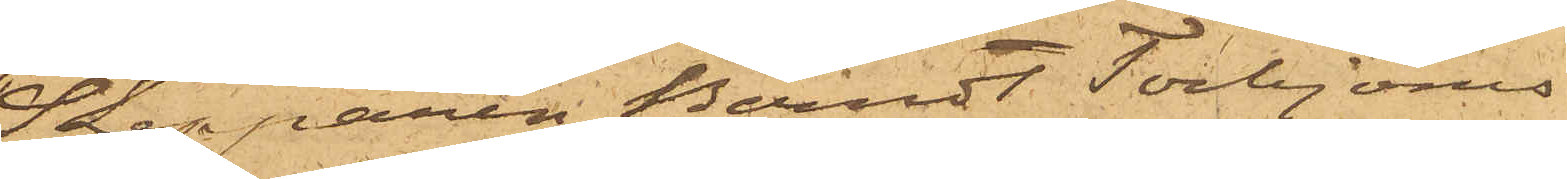Skepparen Berndt Torbjörns¬
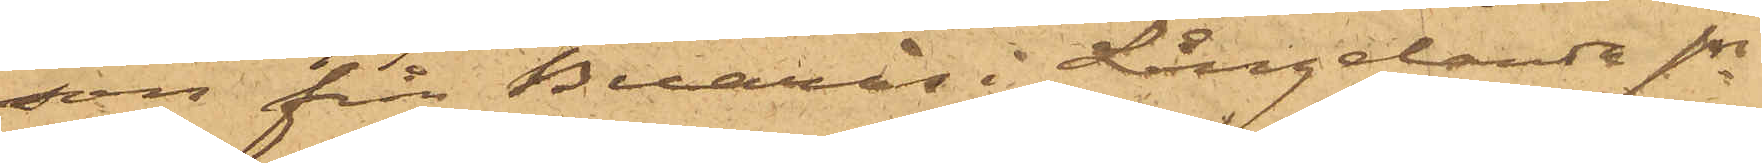son från Buarås i Långelanda sn
